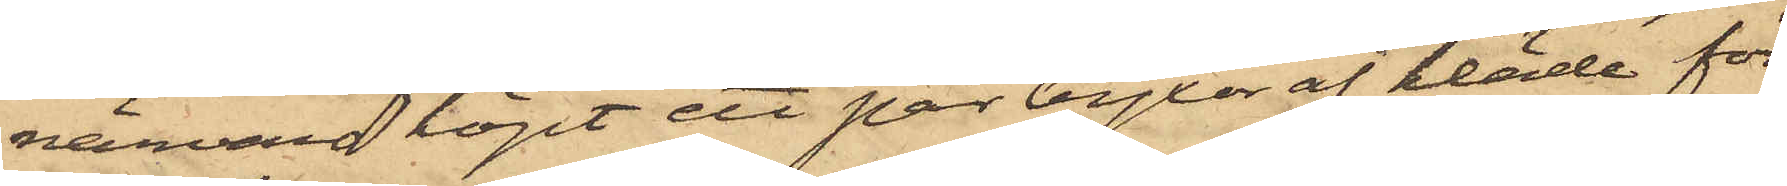närvaro köpt ett par byxor af kläde för
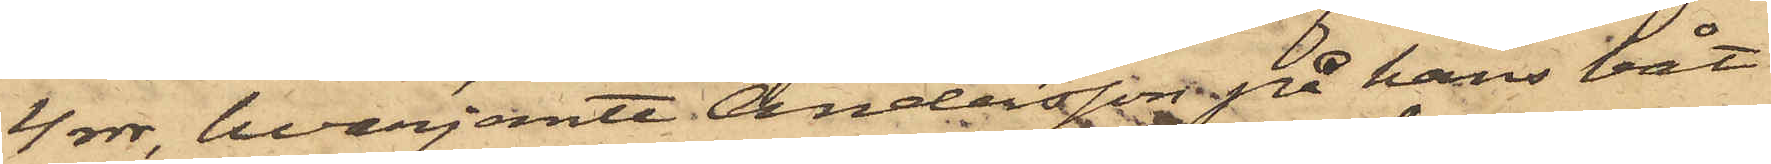4 rdr, hvarjemte Andersson på hans båt
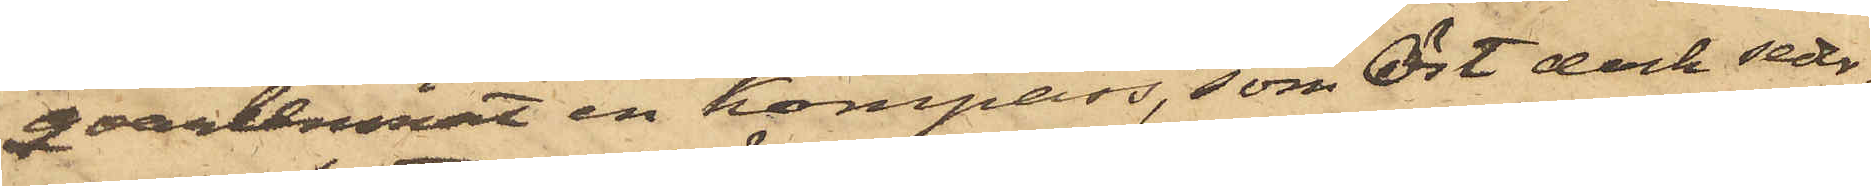qvarlemnat en kompass, som Öst dock seder¬
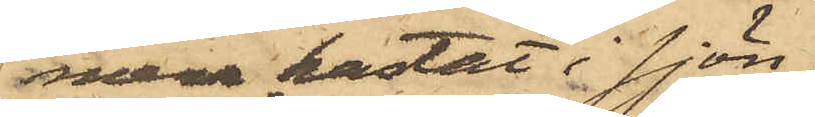mera kastat i sjön;
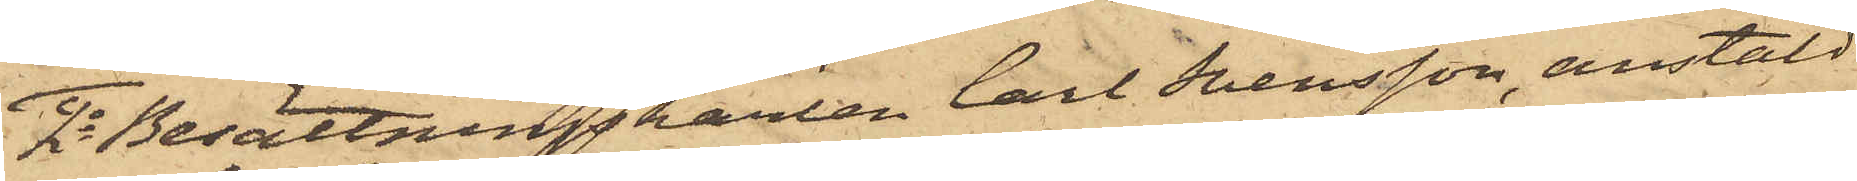2o Besättningskarlen Carl Svensson, anstäld
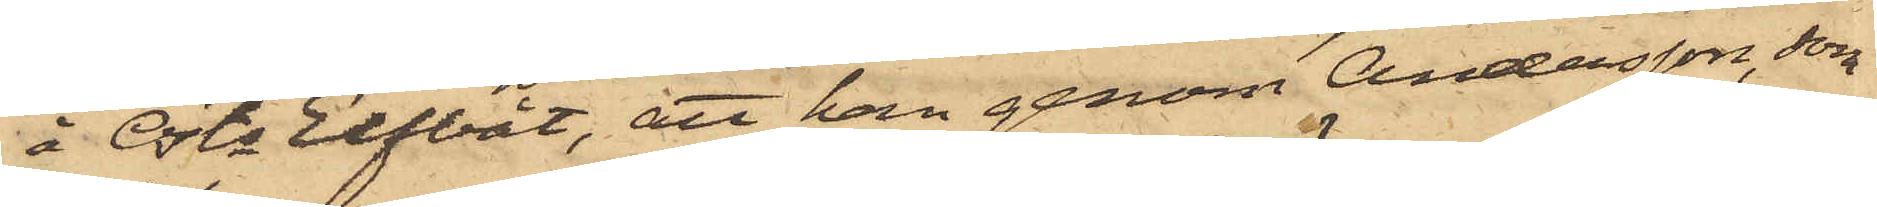å Östs Elfbåt, att han genom Andersson, som
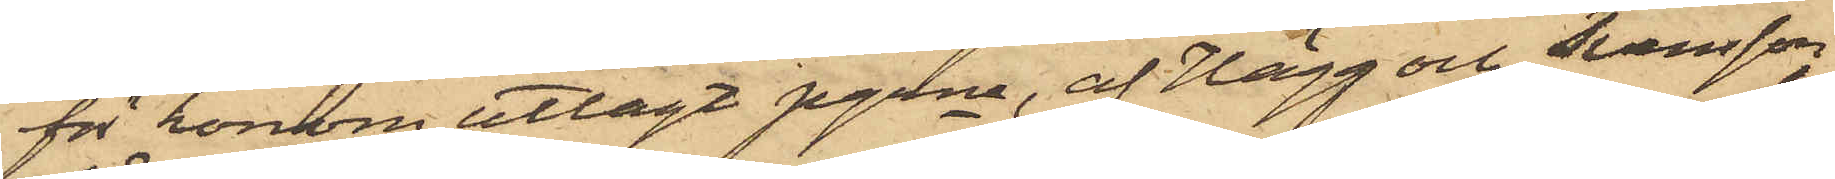för honom utlagt pgrna, af Hägg och Svensson
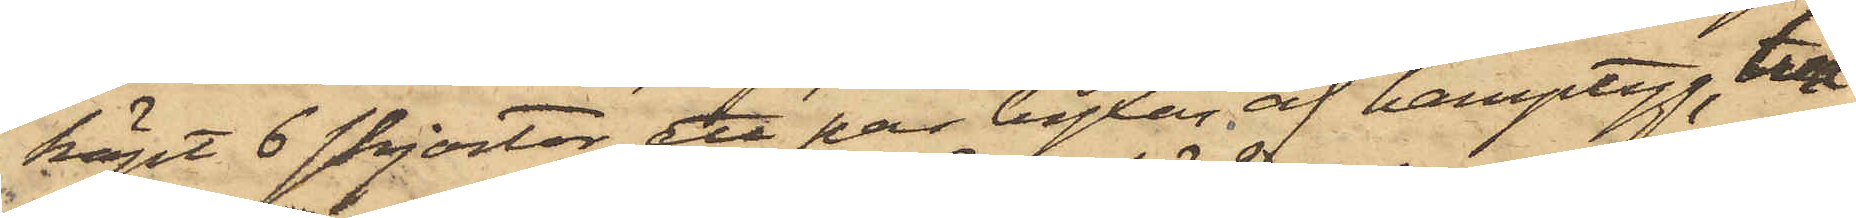köpt 6 skjortor, ett par byxor af hamptyg, två
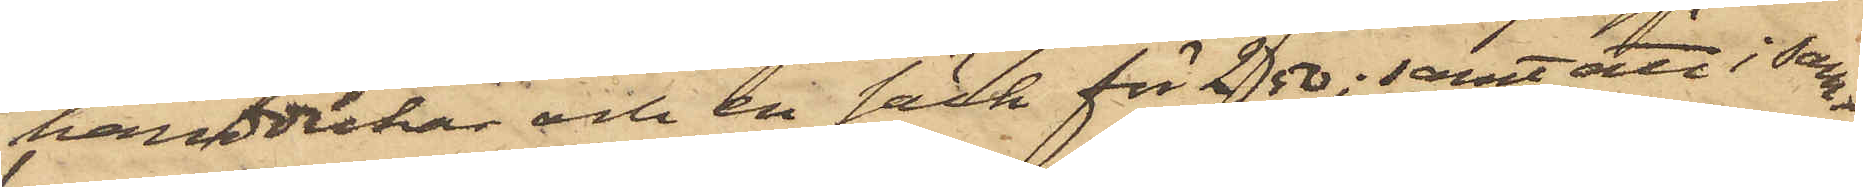handdukar och en säck för 2,50; samt att i sam¬
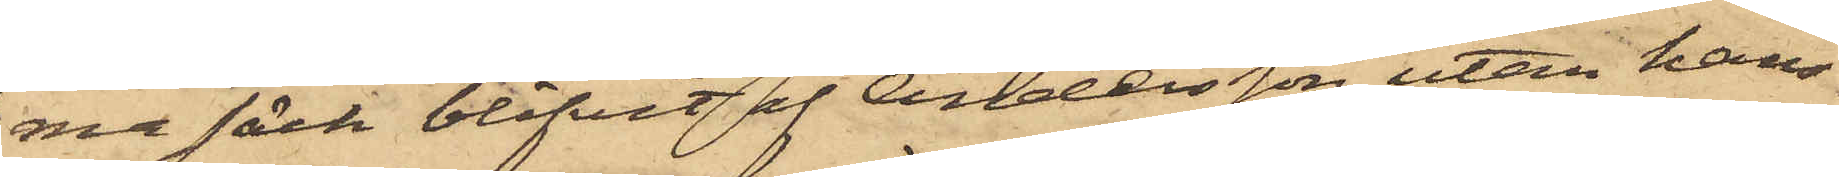ma säck blifvit af Andersson, utan hans
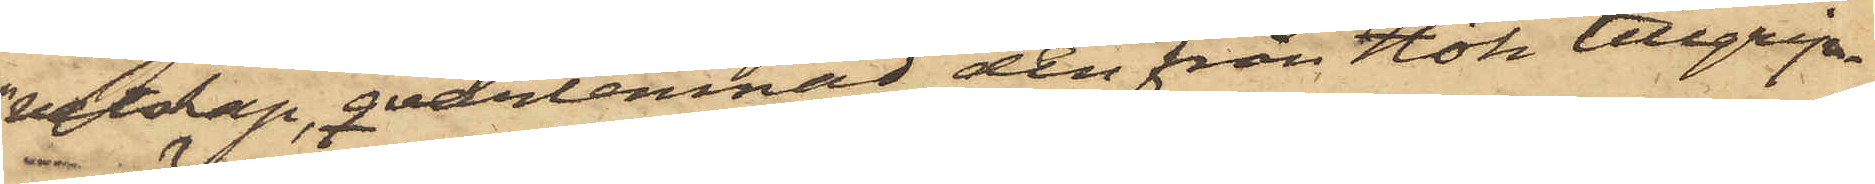vetskap, qvarlemnad den från Hök tillgrip¬
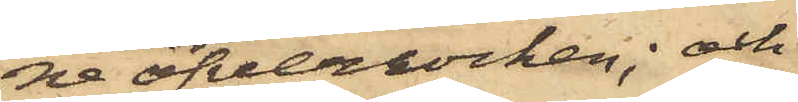ne öfverrocken; och
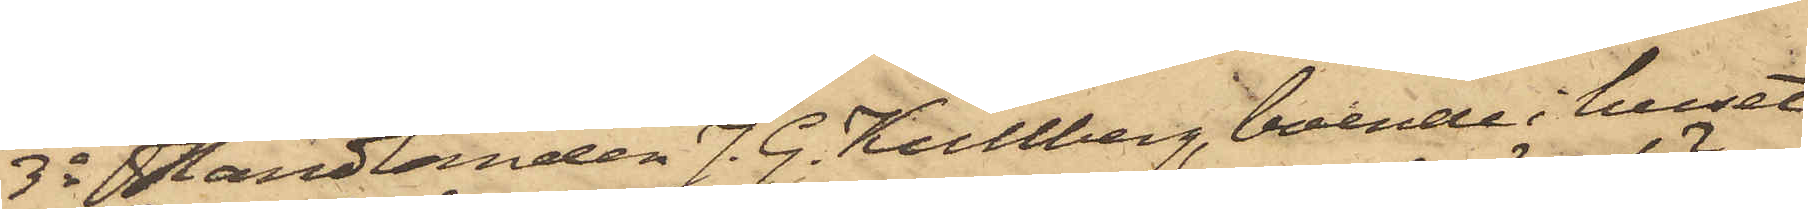3o Handlanden J. G. Kullberg, boende i huset
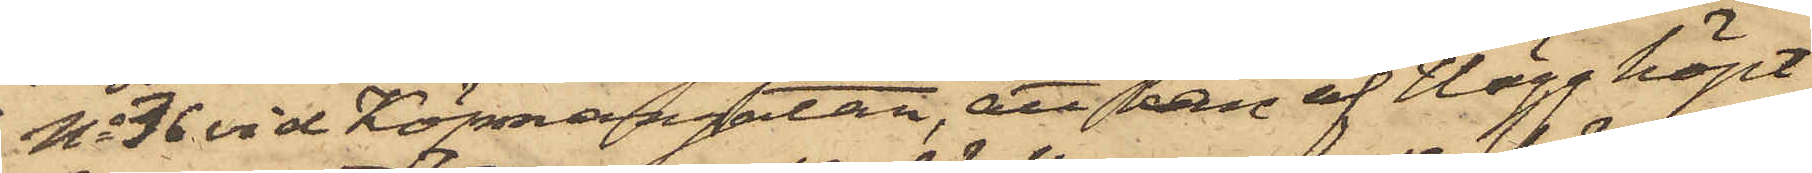No 36 vid Köpmangatan, att han af Hägg köpt
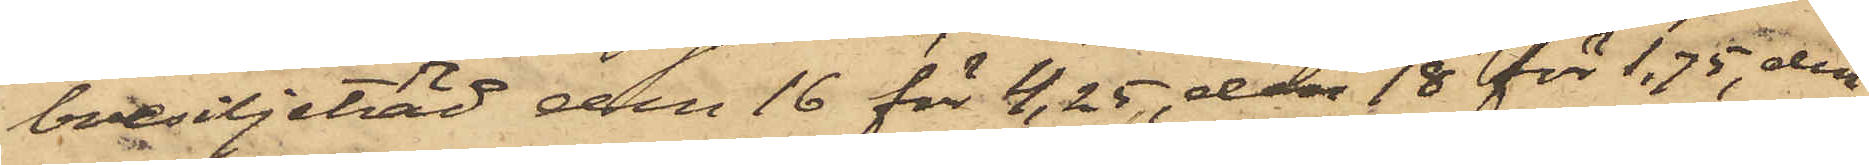bresiljeträd den 16 för 4,25, den 18 för 1,75, den
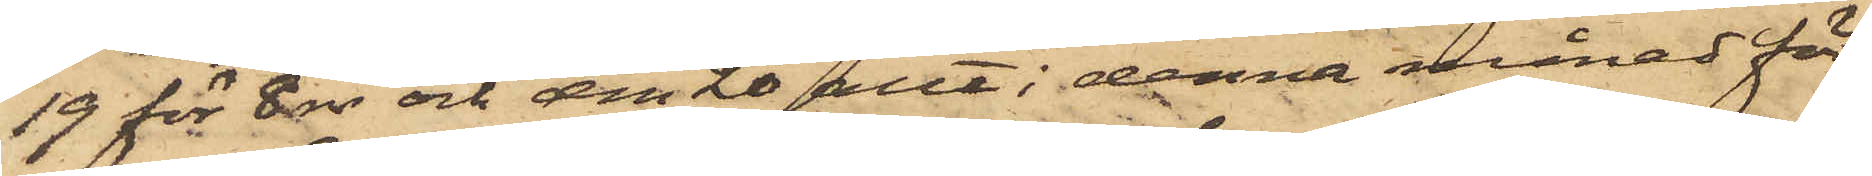19 för 8 rdr och den 20 allt i denna månad för
